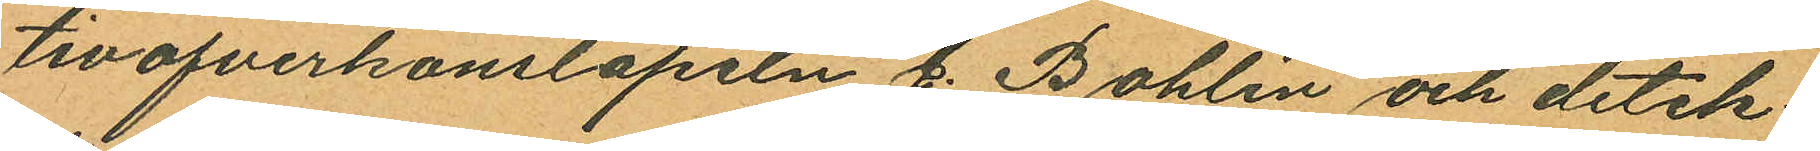tivöfverkonstapeln C. Bohlin och detek¬
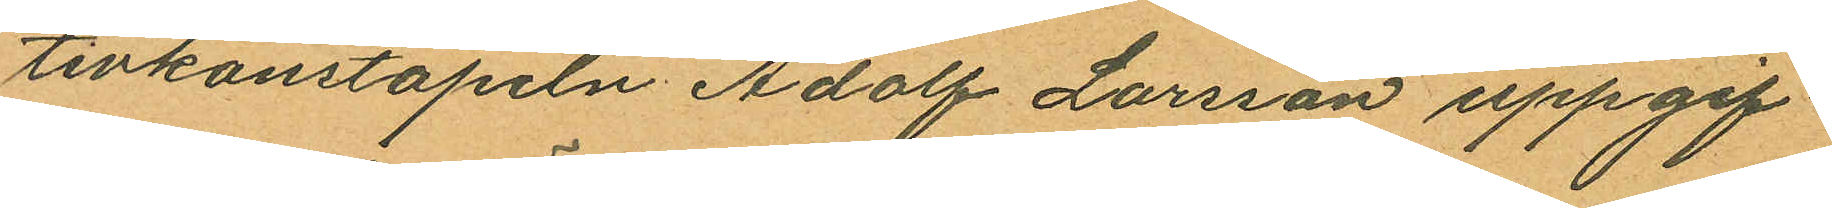tivkonstapeln Adolf Larsson uppgif¬
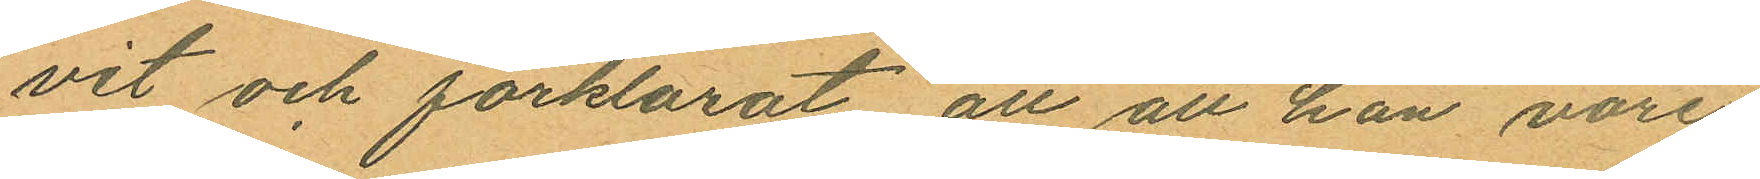vit och förklarat, att att han vore
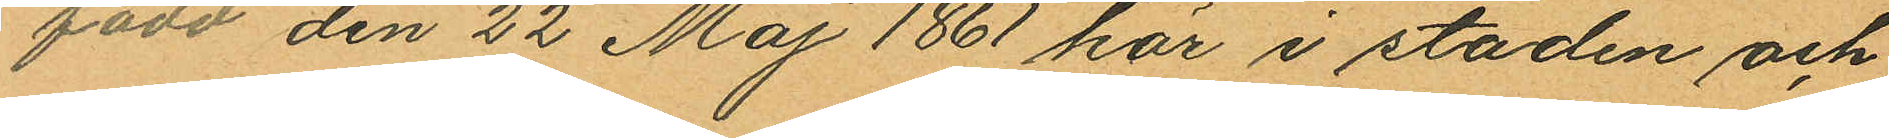född den 22 Maj 1861 här i staden och
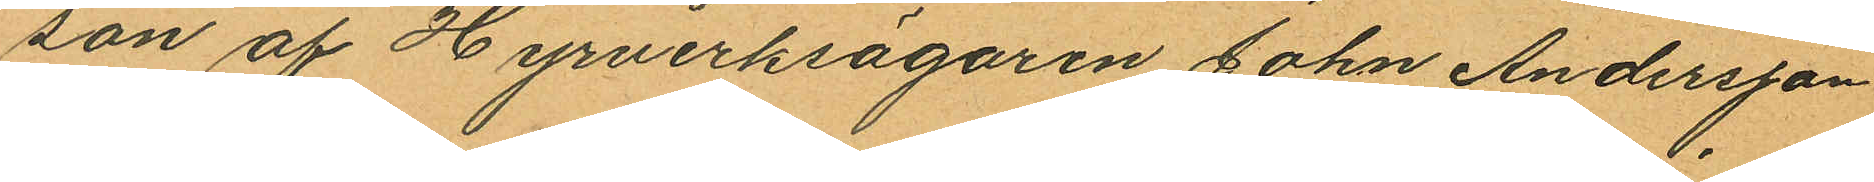son af Hyrverksägaren John Andersson
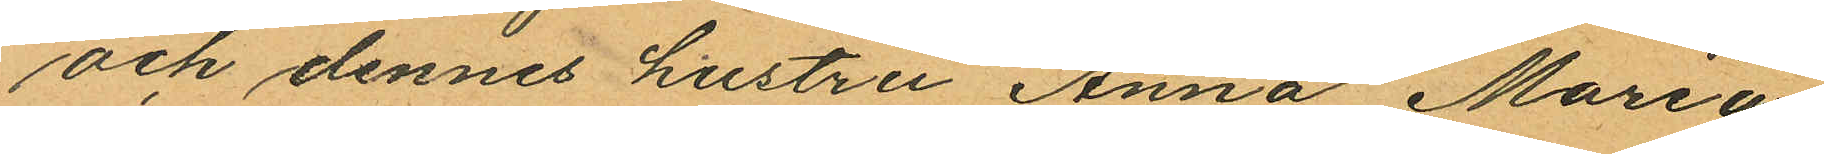och dennes hustru Anna Maria,
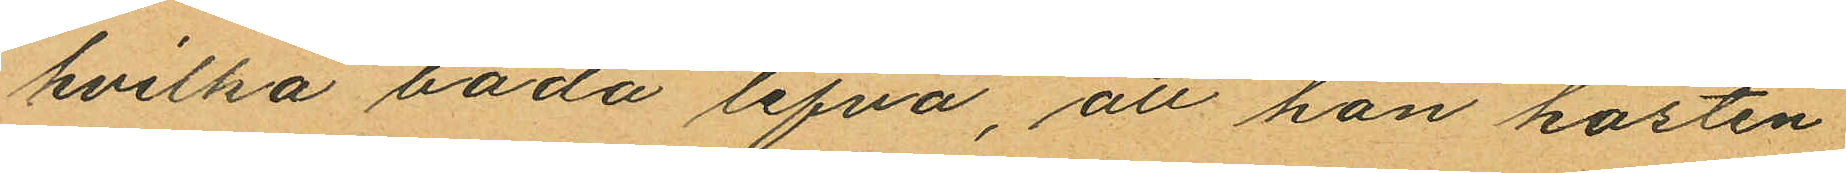hvilka båda lefva, att han hösten
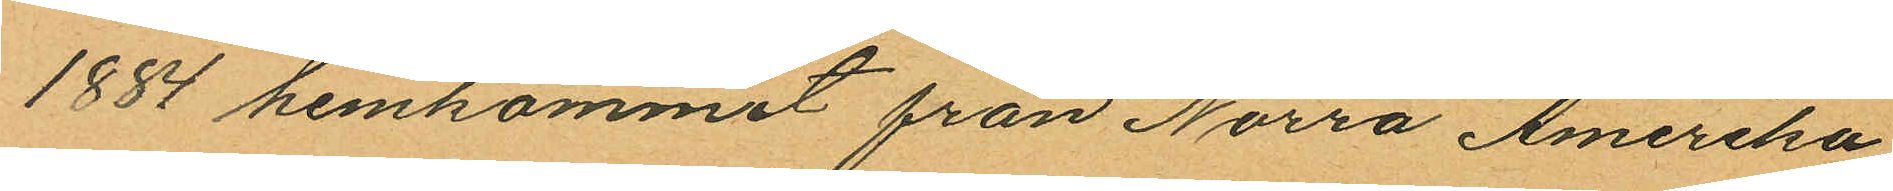1884 hemkommit från Norra Amerika
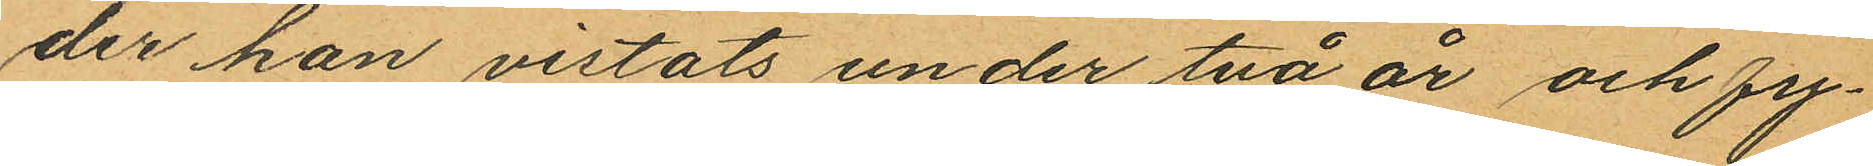der han vistats under två år och fy¬
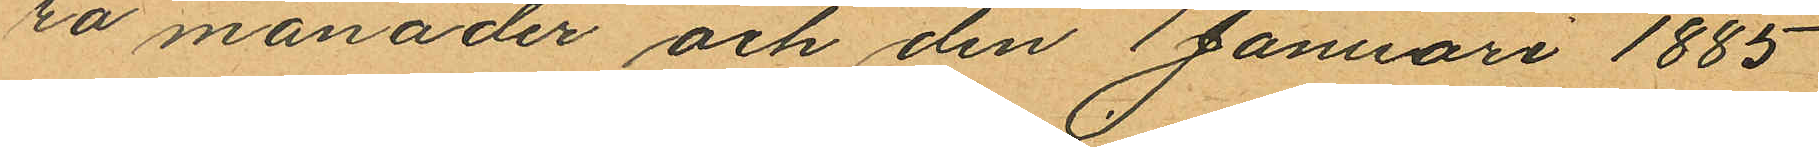ra månader och den 1 Januari 1885
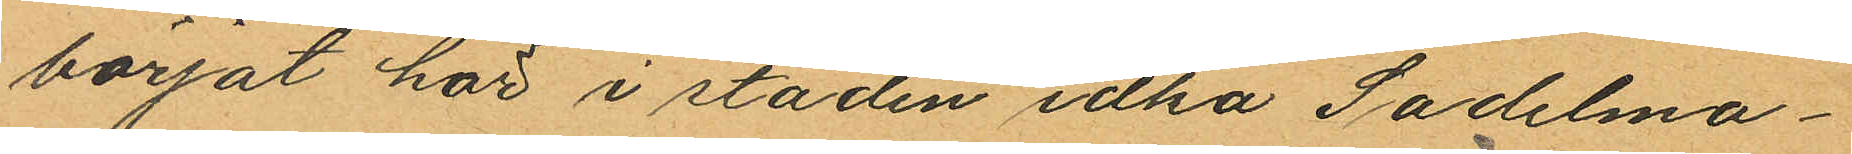börjat här i staden idka Sadelma¬
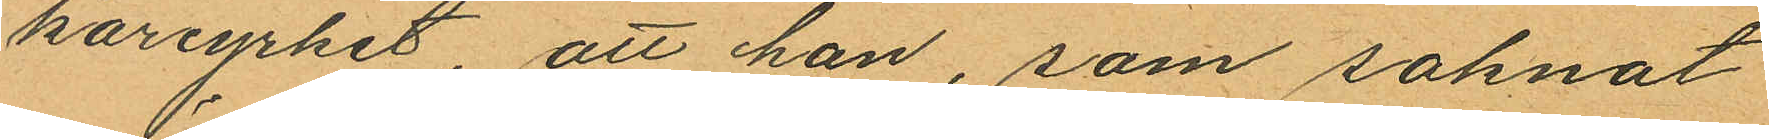kareyrket, att han, som saknat
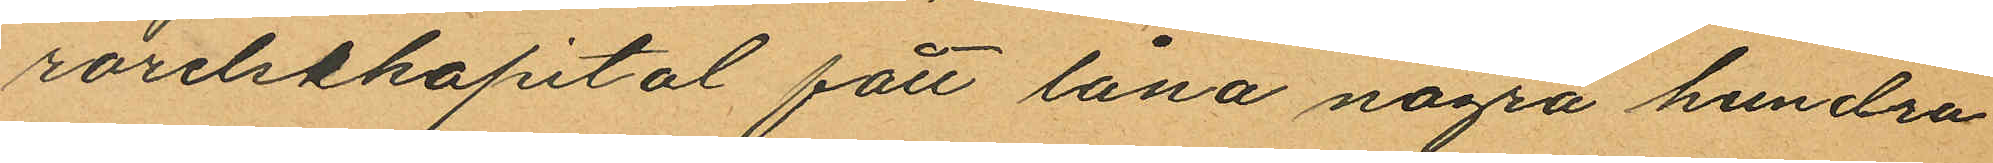rörelsekapital fått låna några hundra
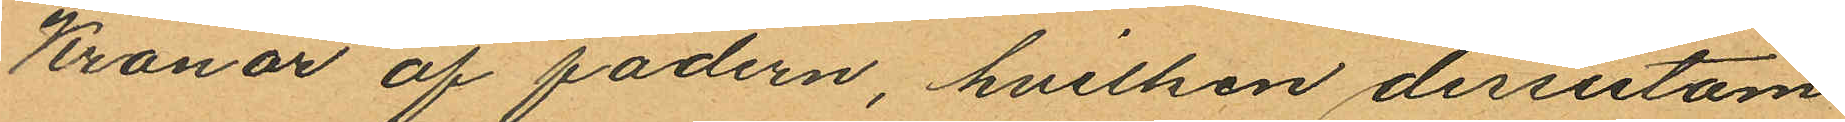Kronor af fadern, hvilken dessutom
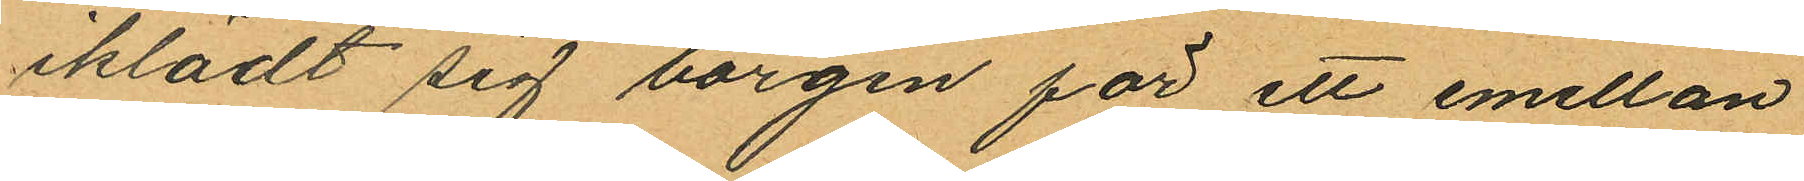iklädt sig borgen för ett emellan
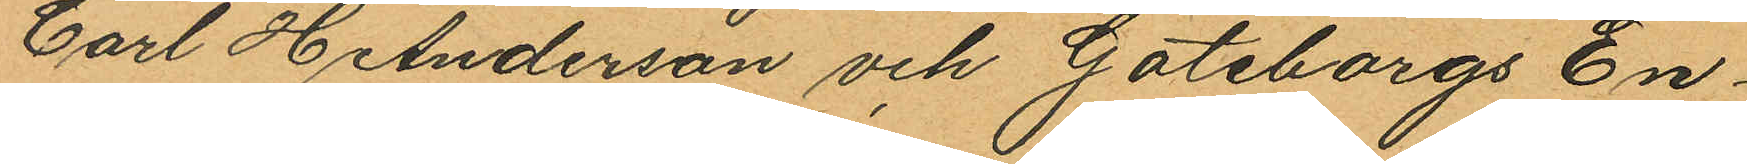Carl H Anderson och Göteborgs En¬
